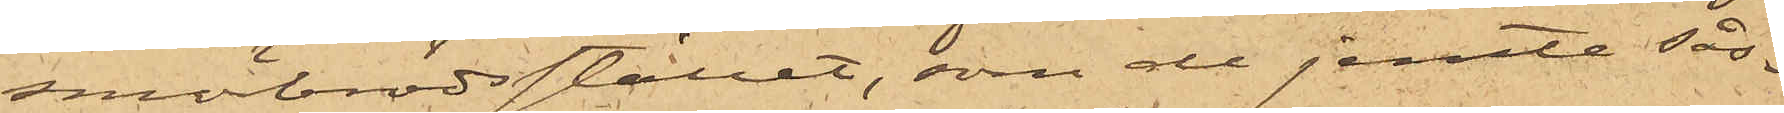småbrödsstället, som de jemte sås¬
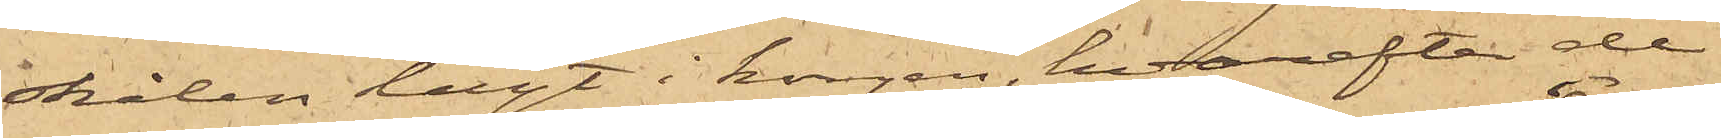skålen lagt i korgen, hvarefter de
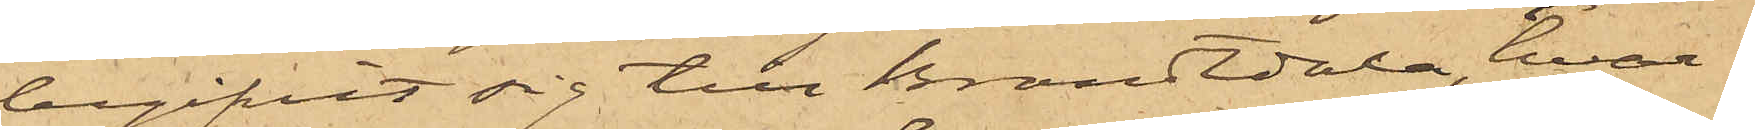begifvit sig till Brandtdala, hvar¬
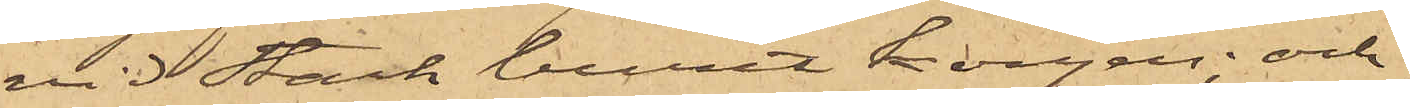vid Stark burit korgen; och
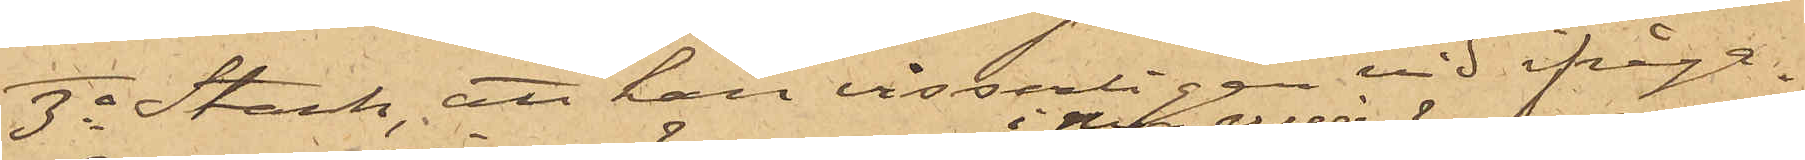3o Stark, att han visserligen vid ifråga¬
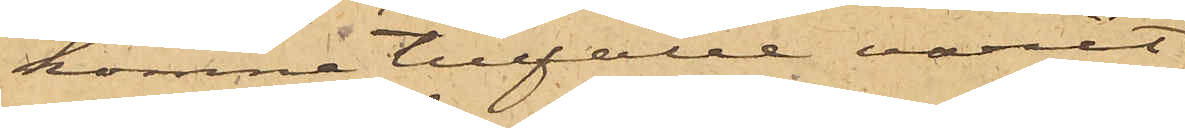komne tillfälle varit
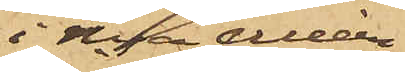i Nya Alléen
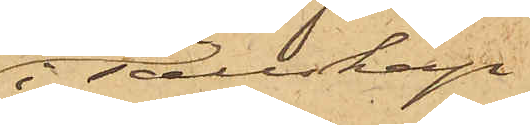i sällskap
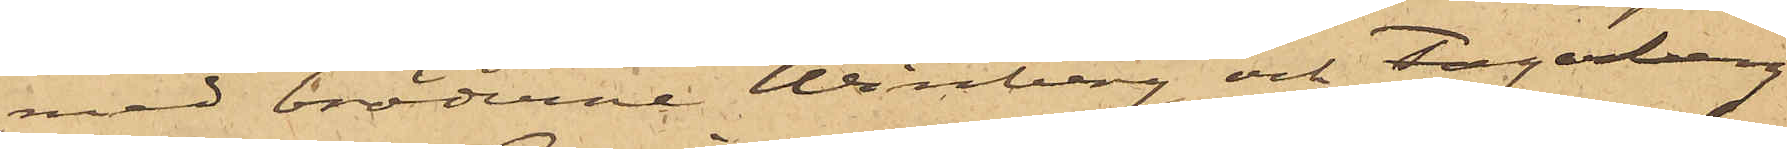med bröderne Winberg och Fagerberg
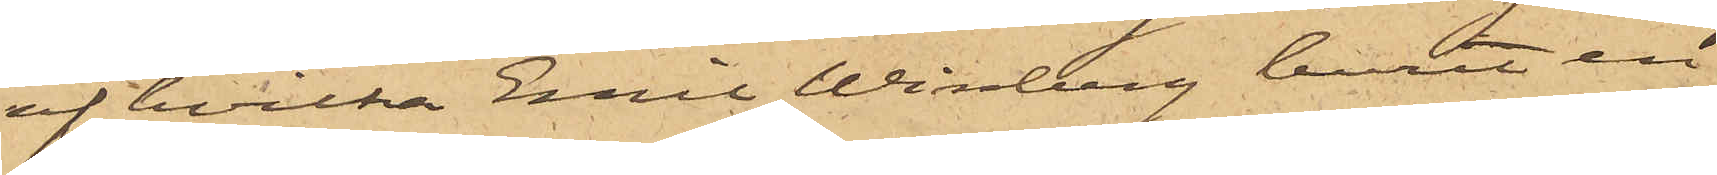af hvilka Emil Winberg burit en
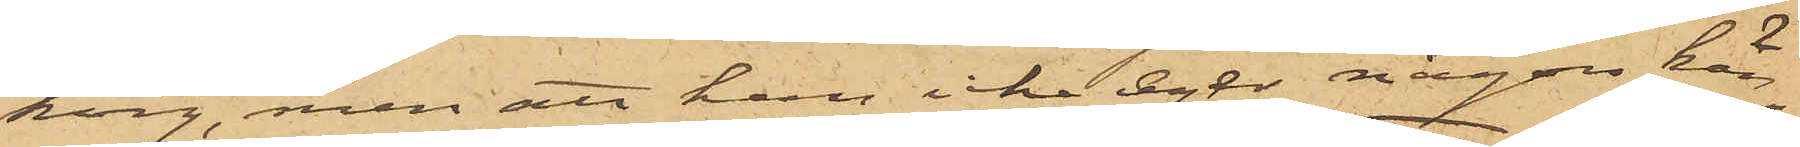korg, men att han icke egde någon kän¬
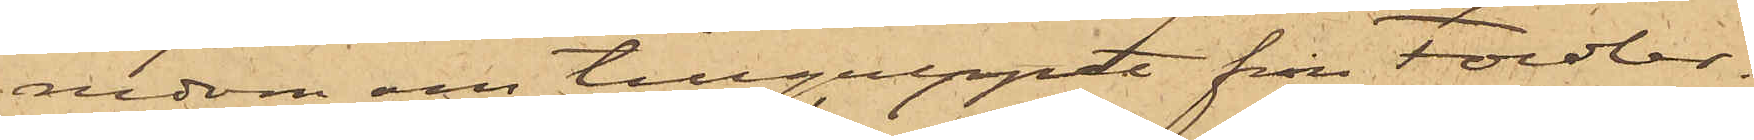nedom om tillgreppet från Fowler,
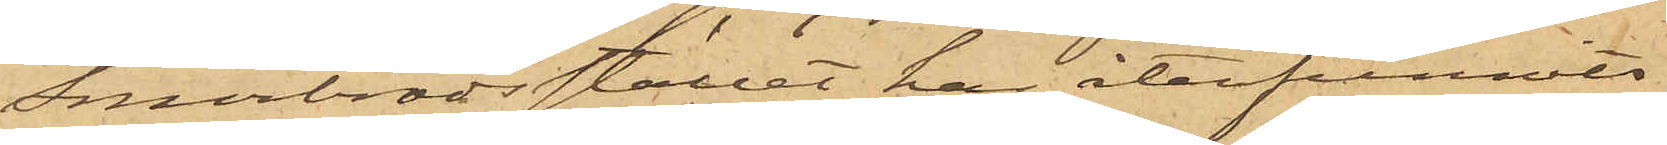Småbrödsstället har återfunnits
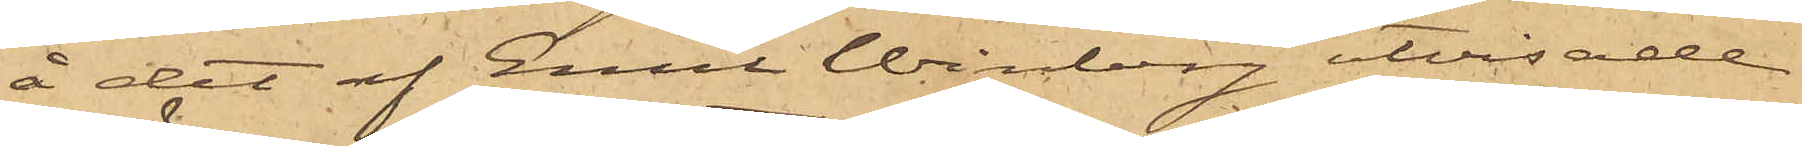å det af Emil Winberg utvisade
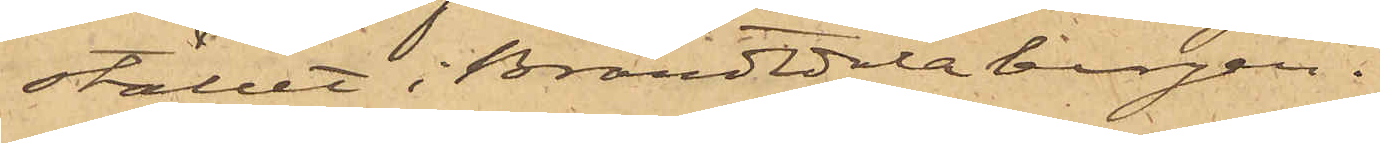stället i Brandtdalabergen.
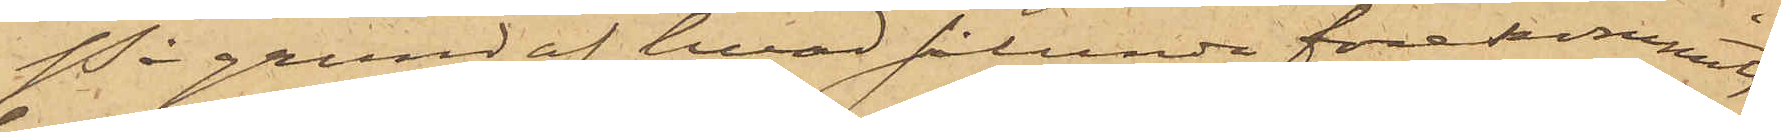På grund af hvad sålunda förekommit,
